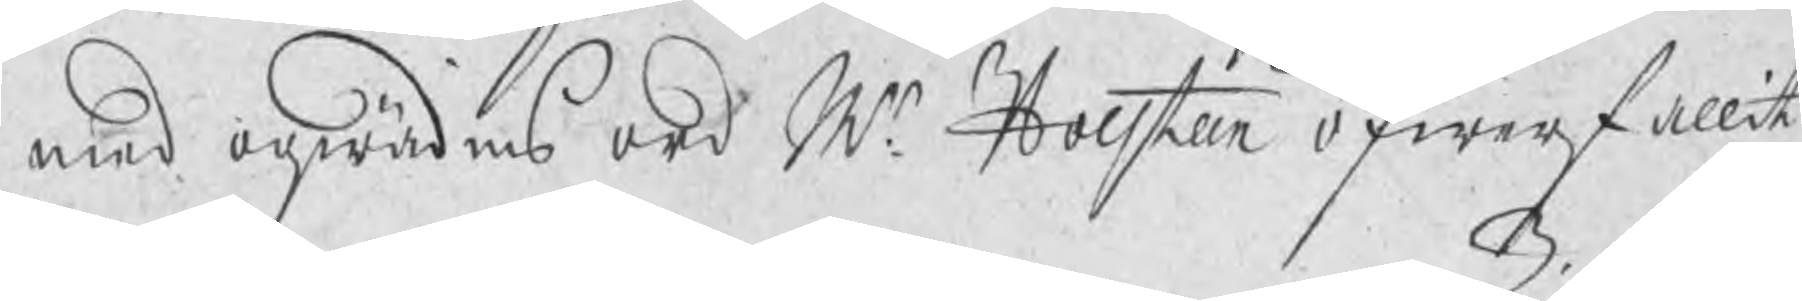med oqwädens ord Mr Holsteen öfwerfallit
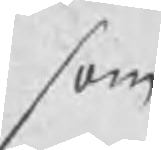som
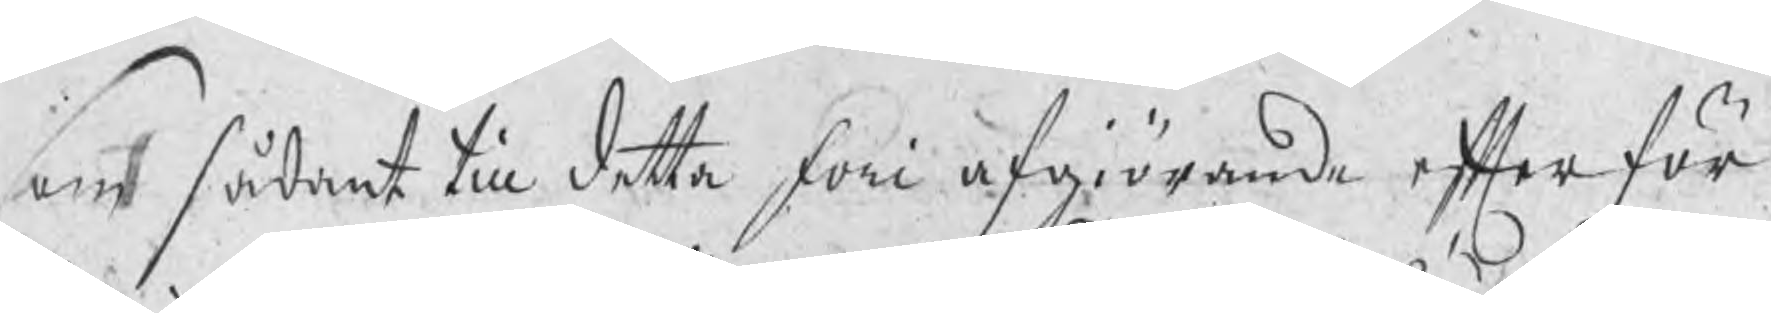som sådant till detta foti afgiörande efter för¬
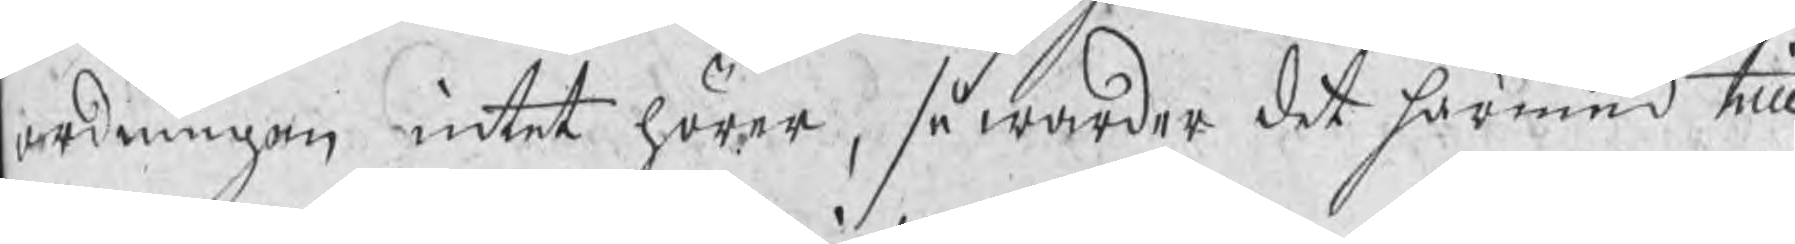ordningen intet hörer, så warder det härmed till
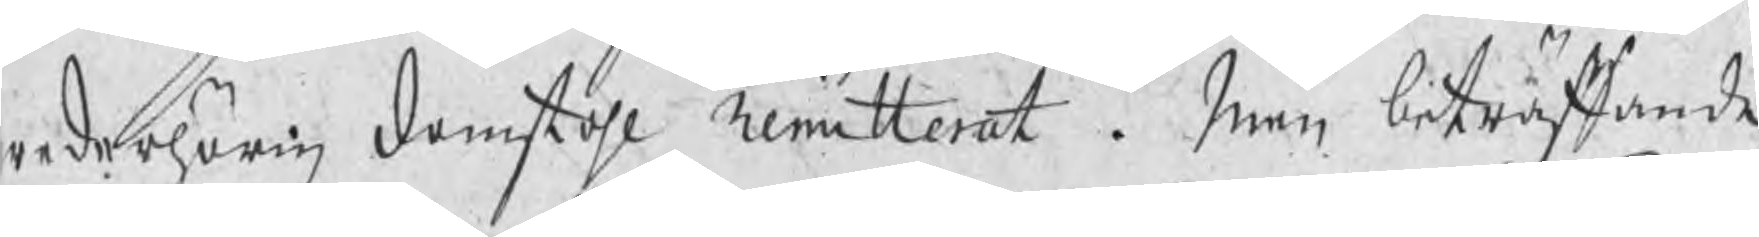wederhörig domstohl Remitterat. Men beträffande
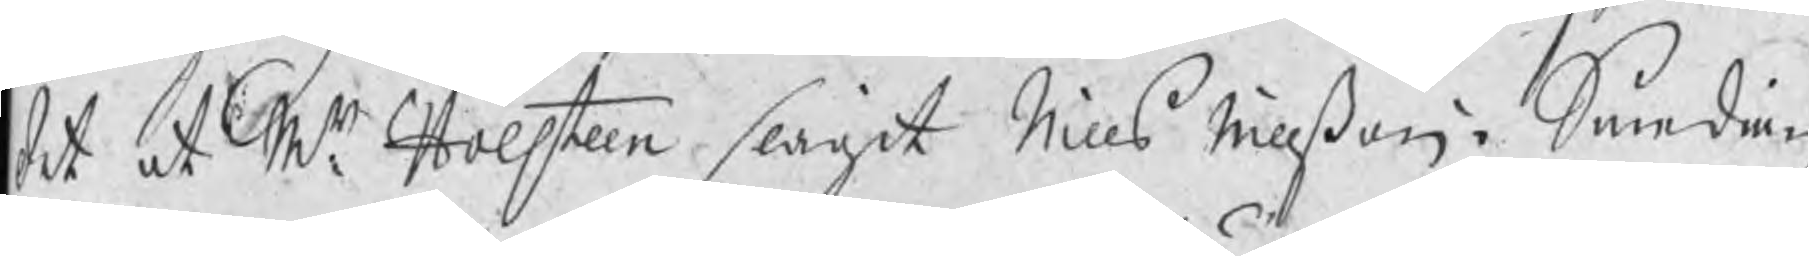det at Mr Holsteen slagit Nills Nillßon i Smedian
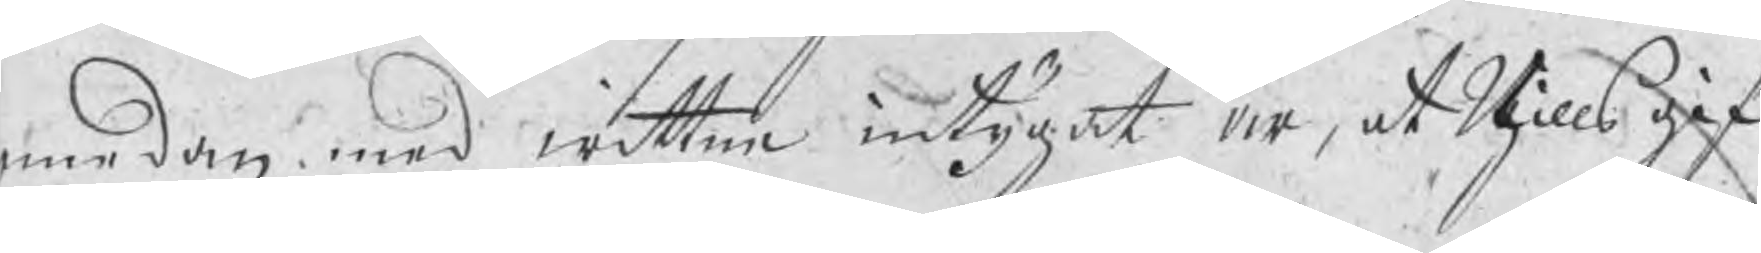emedan med wittne intygat är, at Nills gif¬
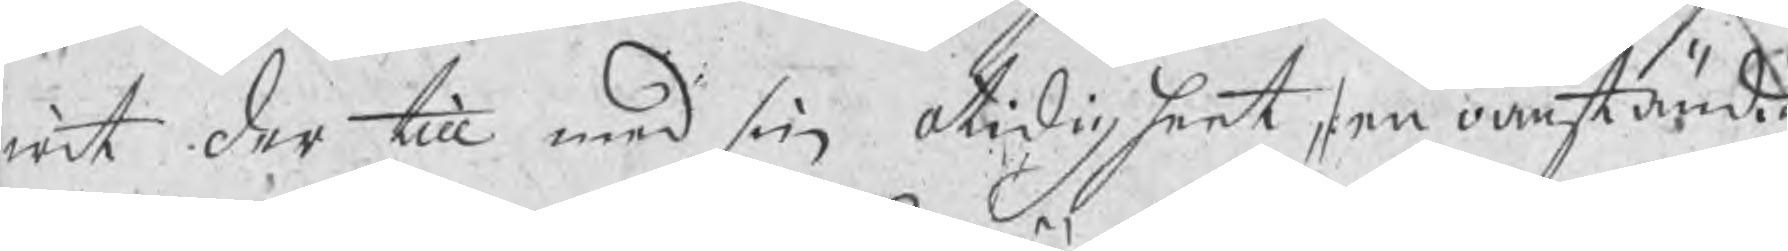wit der till med sin otidigheet, /: en oanständig
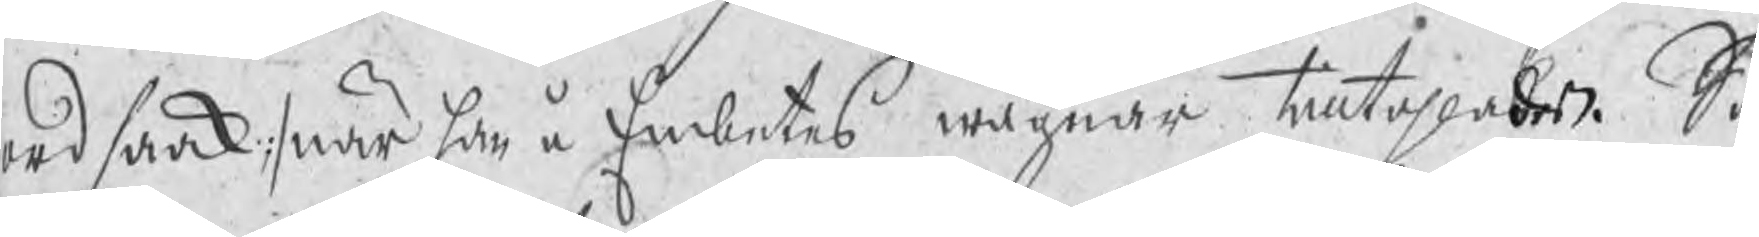ordsaak :/ när han å Embetes wägnar tilltahlades. Så
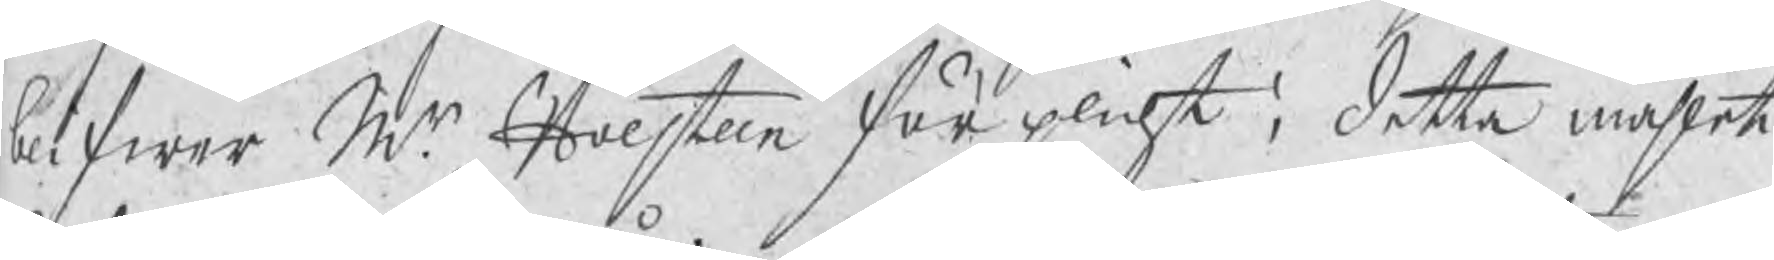blifwer Mr Holsteen för plicht i detta måhlet
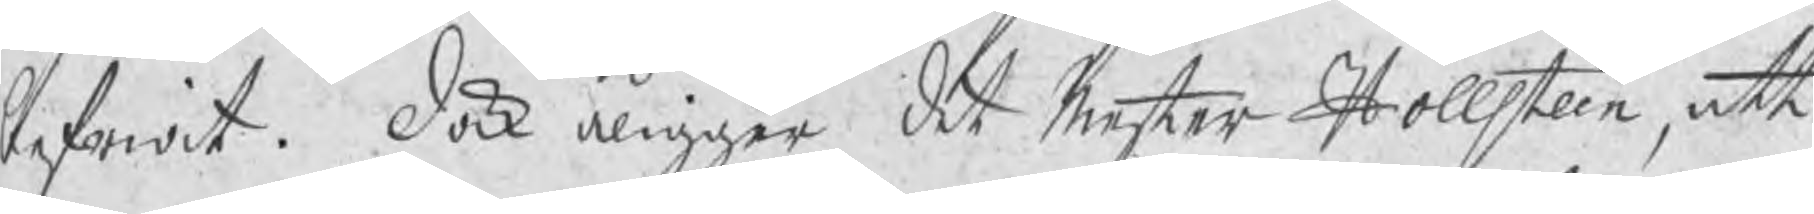befriat. Dock åligger det Mester Hollsteen, att
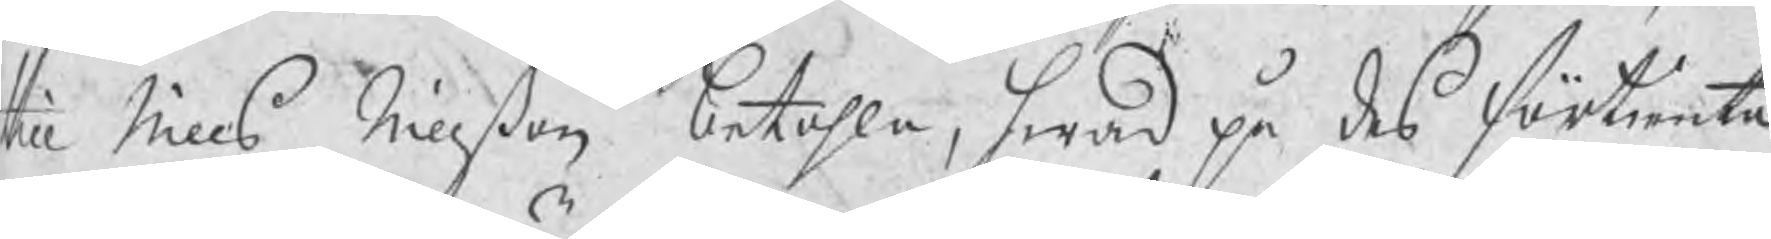till Nills Nillßon betahla, hwad på des förtienta
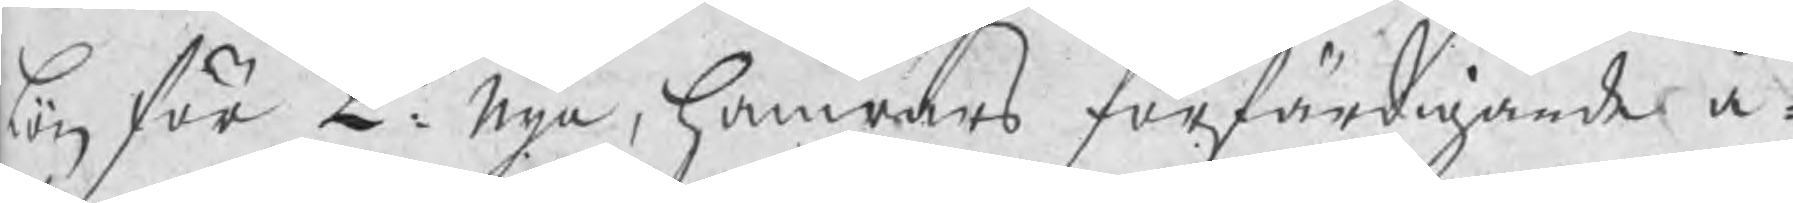lön för 2ne: nya, hamrars förfärdigande å¬
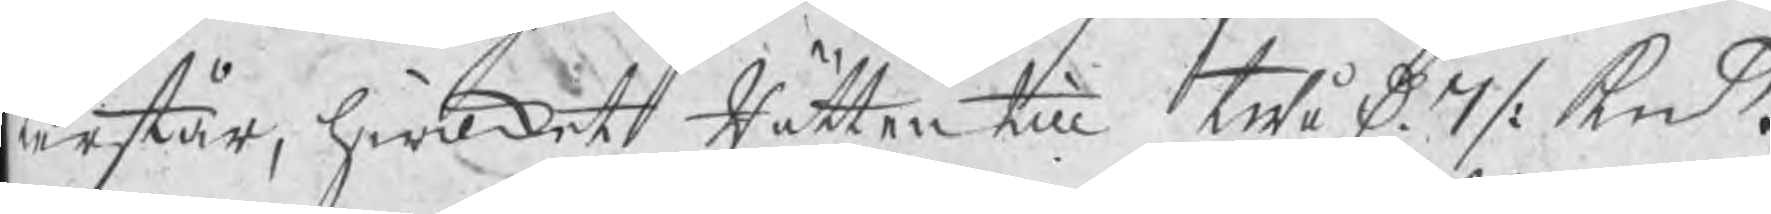terstår, hwilket Rätten till twå D 7 /: kmt.
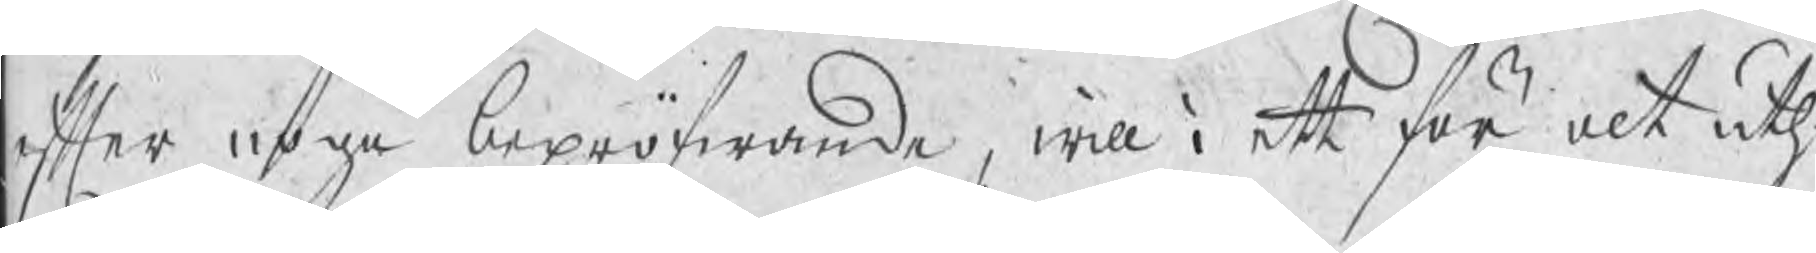efter noga bepröfwande, will i ett för alt uyh¬
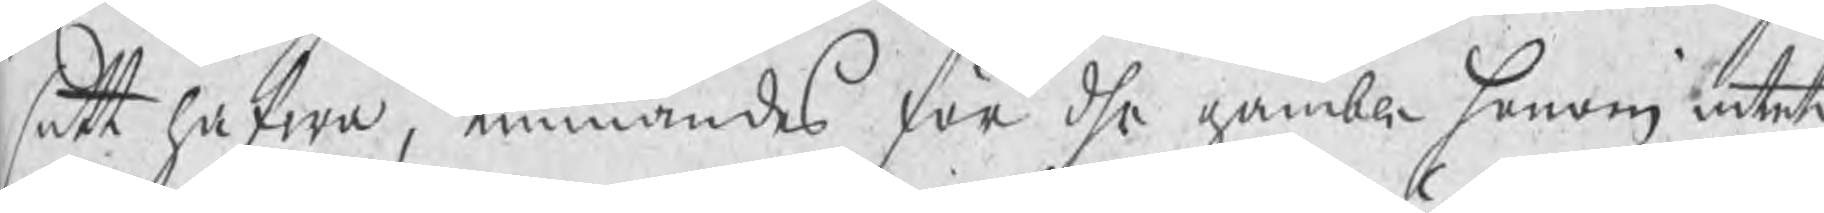satt hafwa, kunnandes för dhe gamble honom intet
